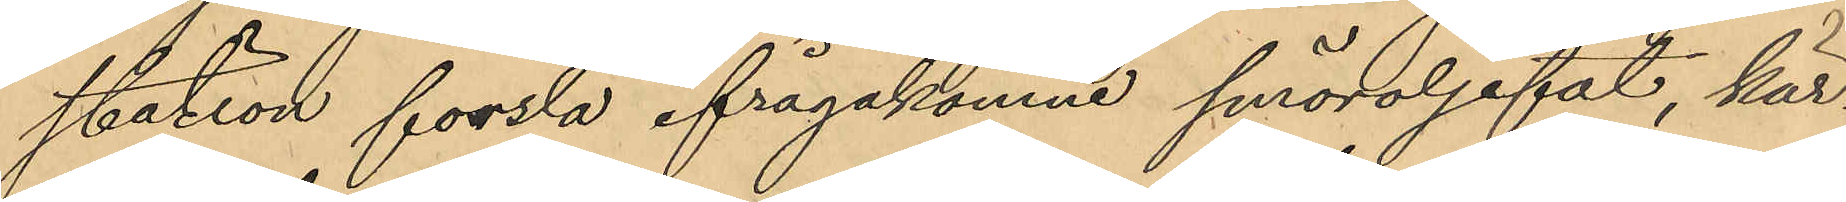station forsla ifrågakomne smöroljefat, kär¬
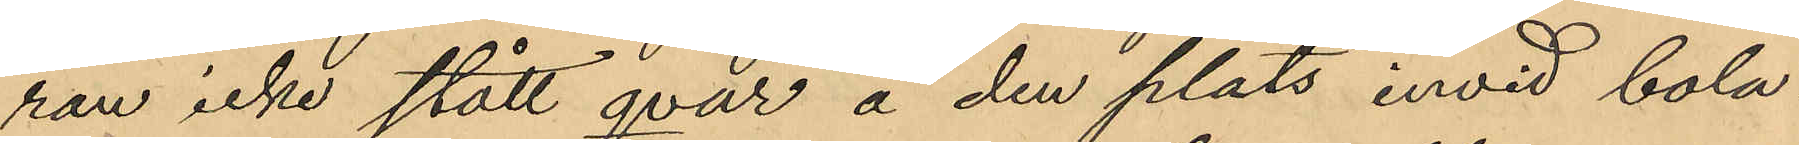ran icke stått qvar å den plats invid bola¬
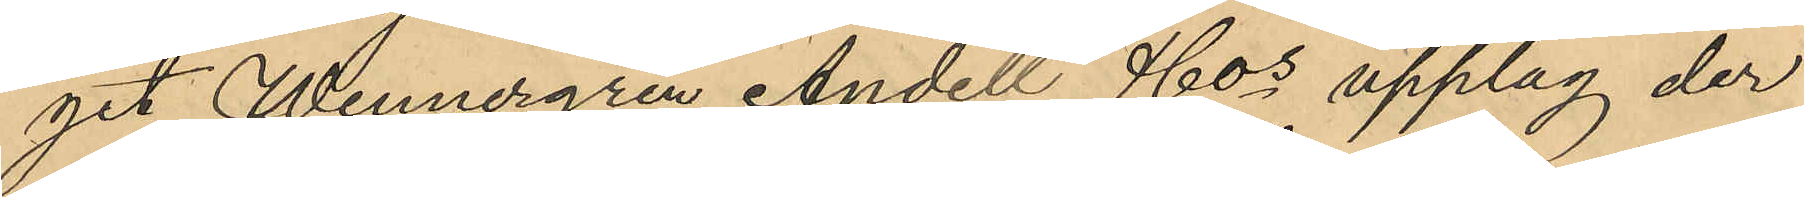get Wennergren Andell & Cos upplag der
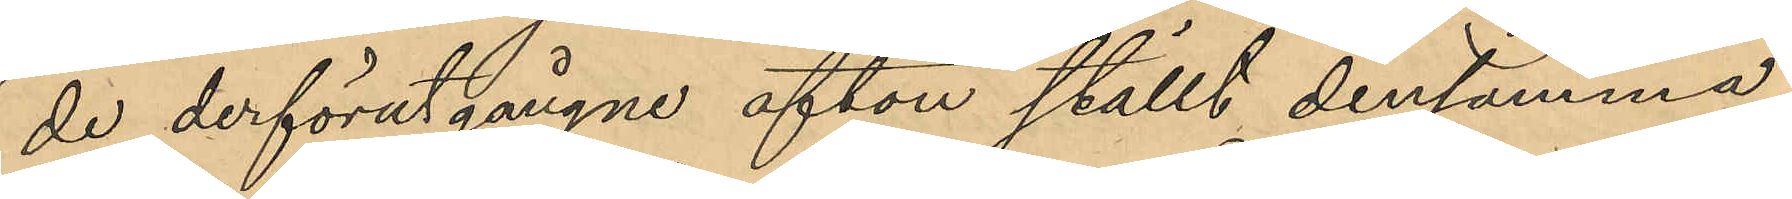de derförutgångne afton ställt densamma
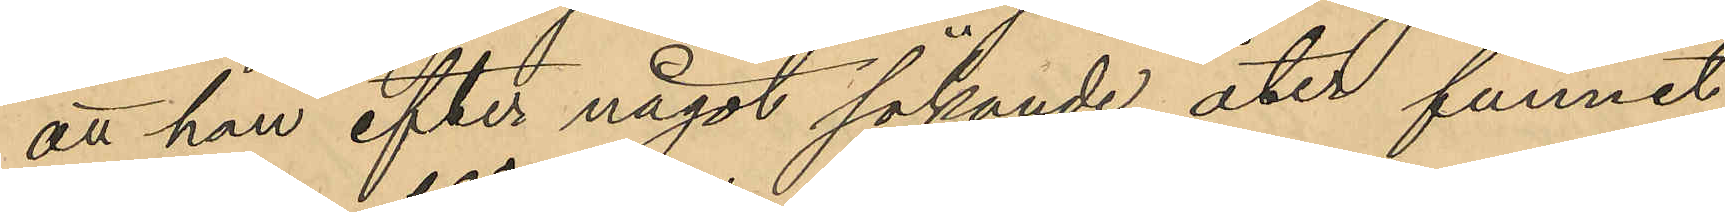att han efter något sökande åter funnit
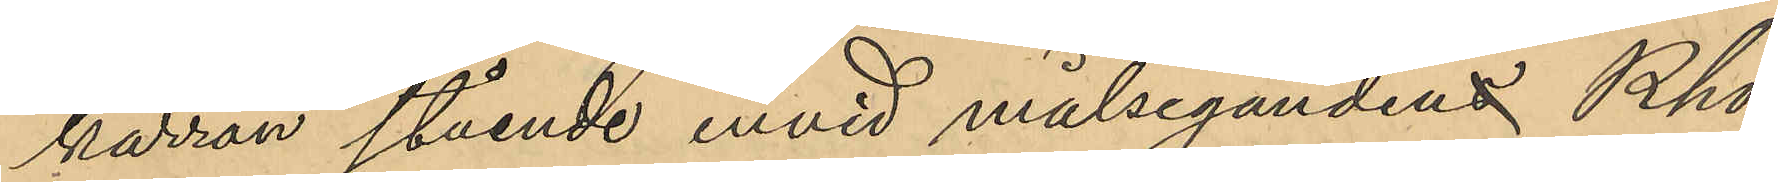kärran stående invid målsegandens Rho¬
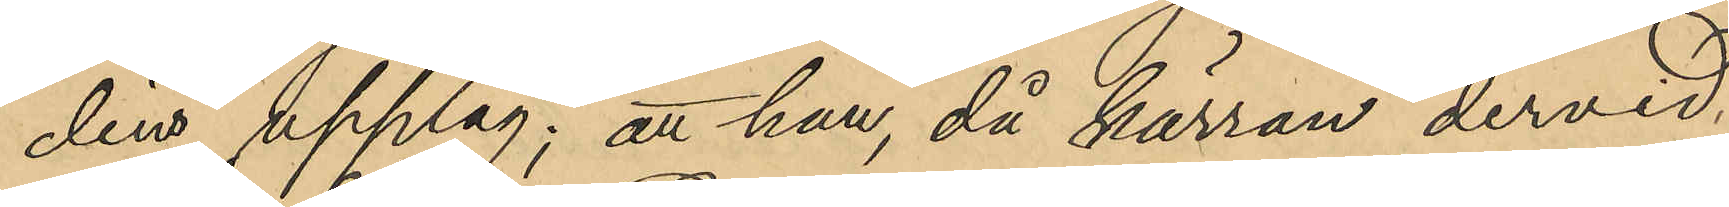dins upplag; att han, då kärran dervid
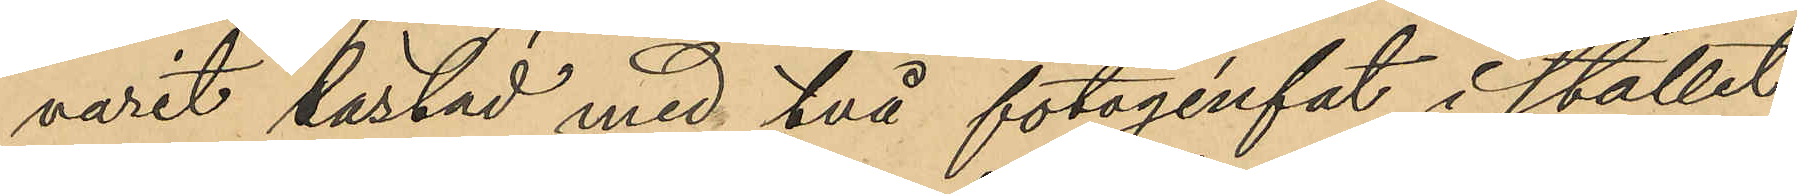varit lastad med två fotogénfat i stället
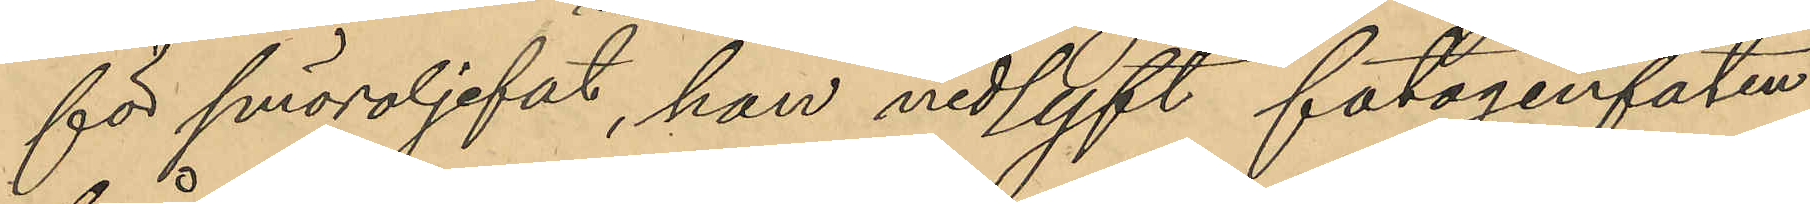för smöroljefat, han nedlyft fotogénfaten
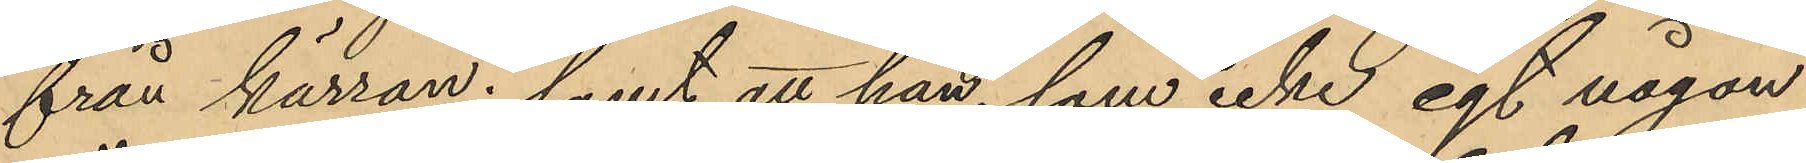från kärran; samt att han, som icke egt någon
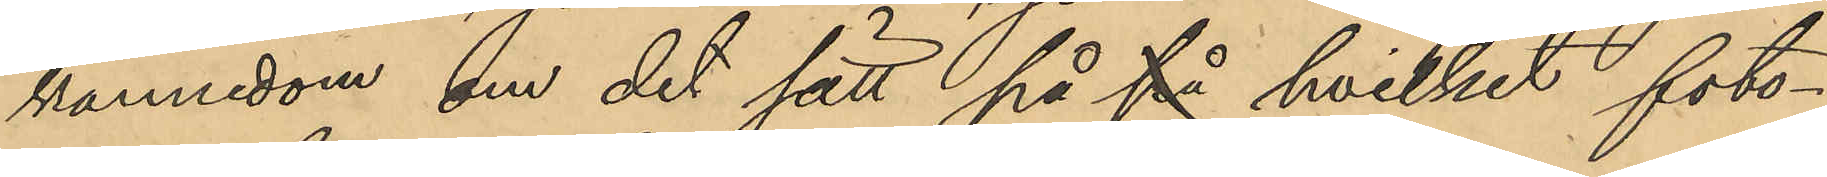kännedom om det sätt på på hvilket foto¬
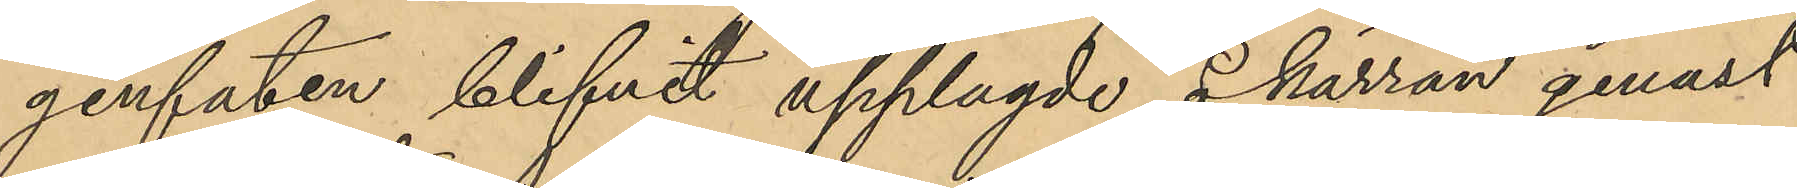génfaten blifvit upplagde å kärran genast
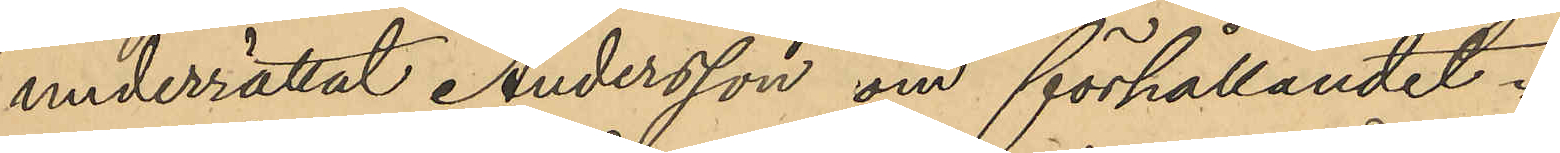underrättat Andersson om förhållandet.
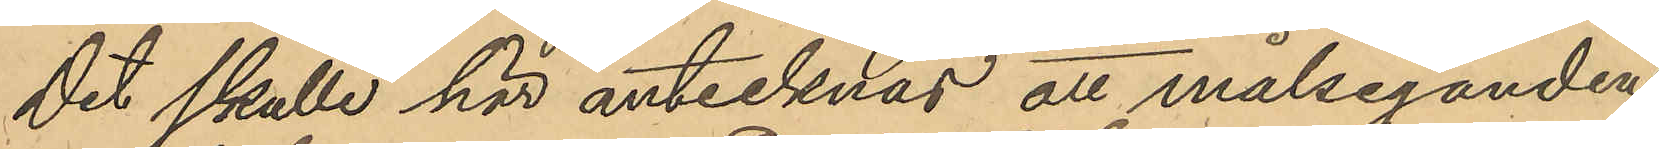Det skulle här antecknas att målseganden
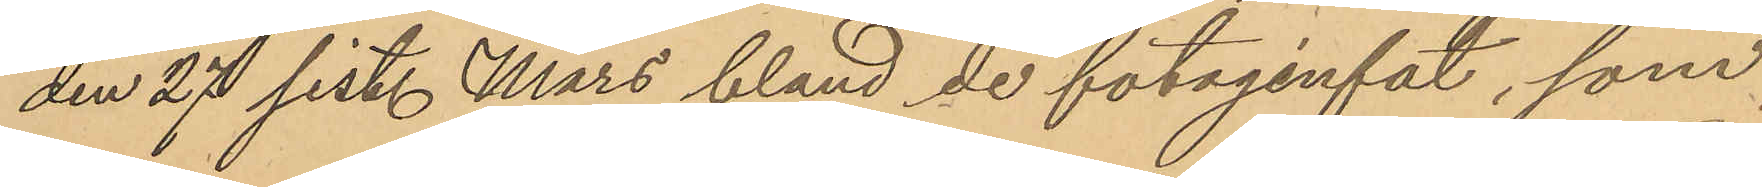den 27 sist. Mars bland de fotagénfat, som
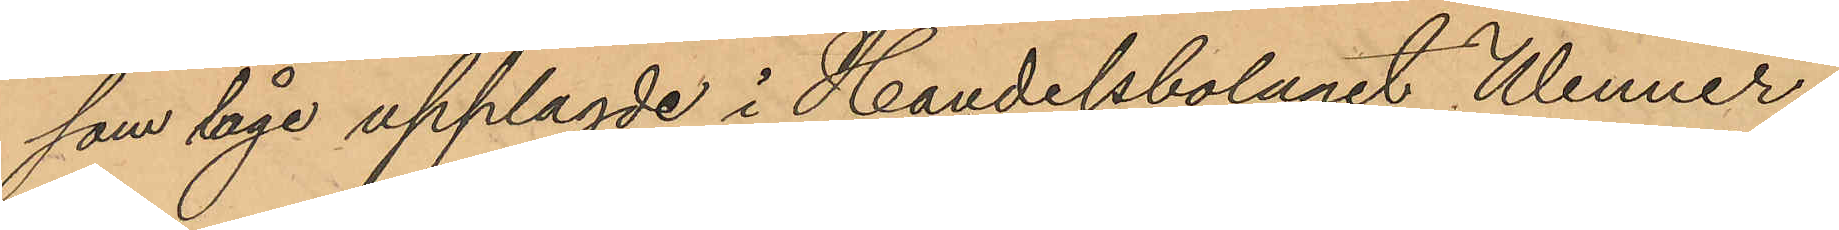som läge upplagde i Handelsbolaget Wenner¬
